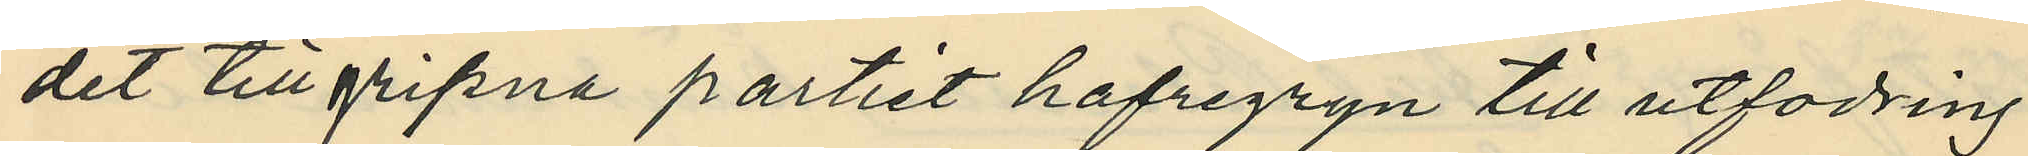det tillgripna partiet hafregryn till utfödring
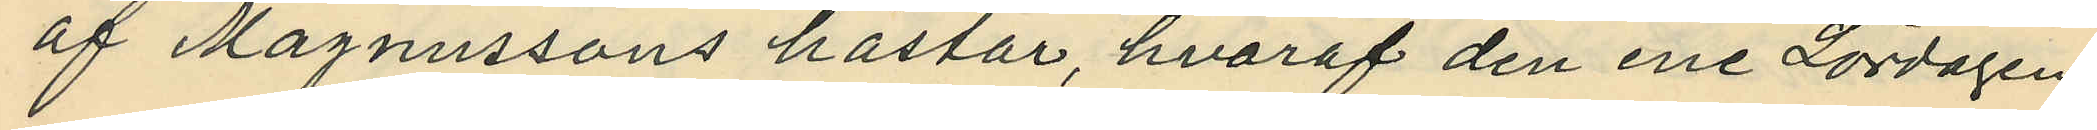af Magnussons hästar, hvaraf den ene Lördagen
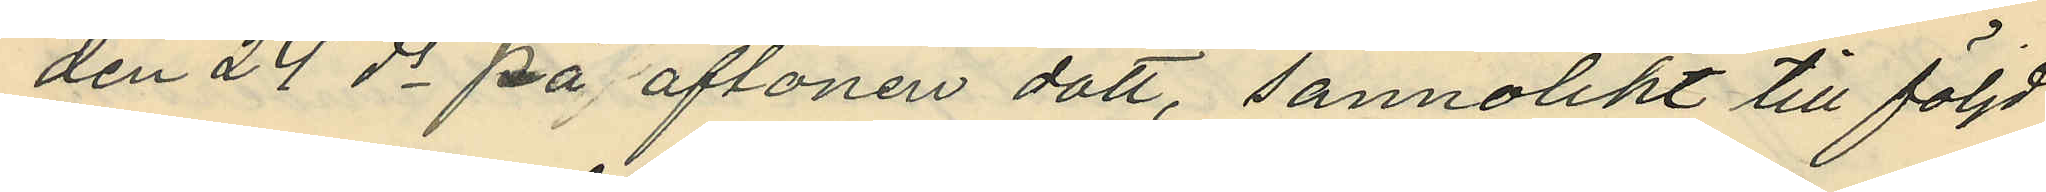den 24 ds på aftonen dött, sannolikt till följd
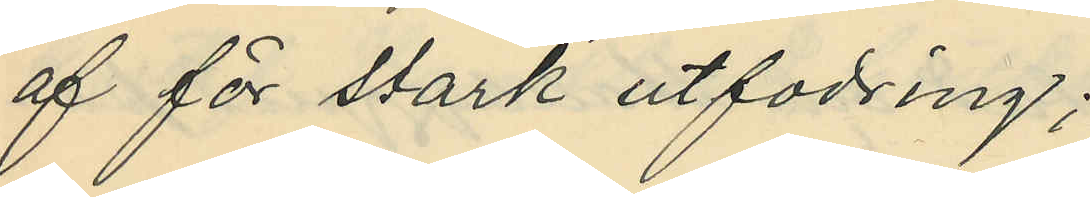af för stark utfodring;
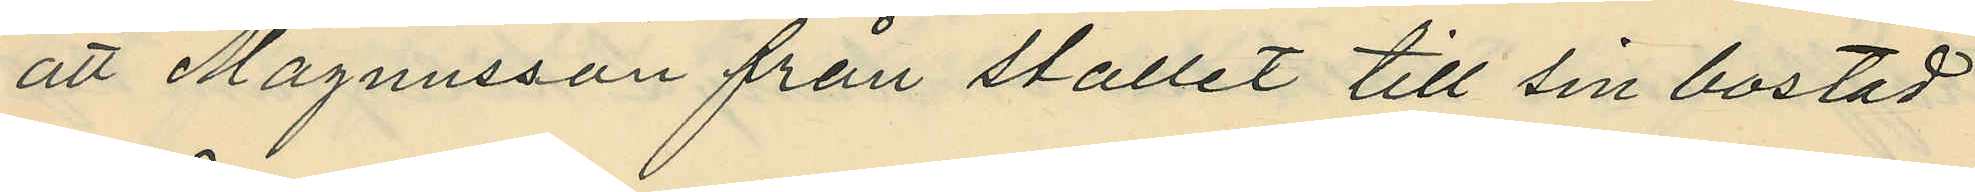att Magnusson från stallet till sin bostad
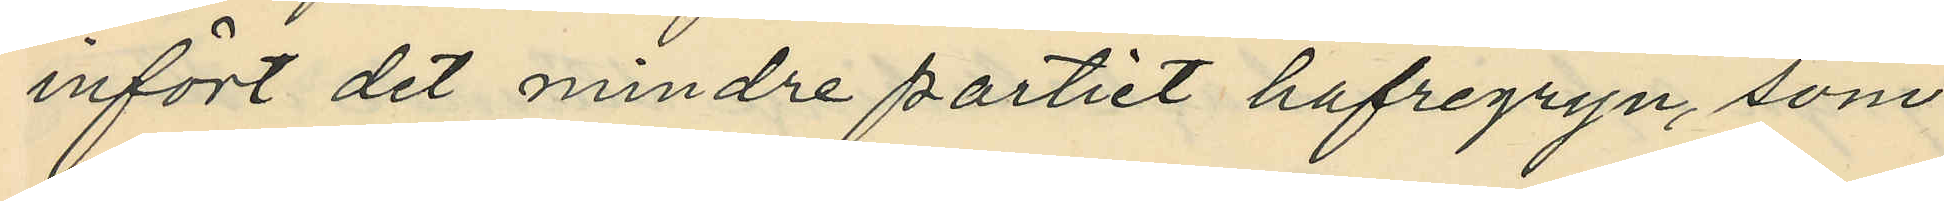infört det mindre partiet hafregryn, som
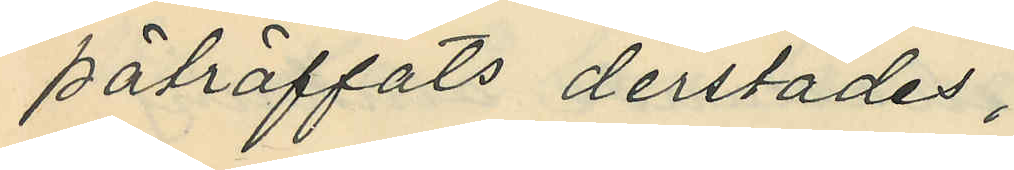påträffats derstädes;
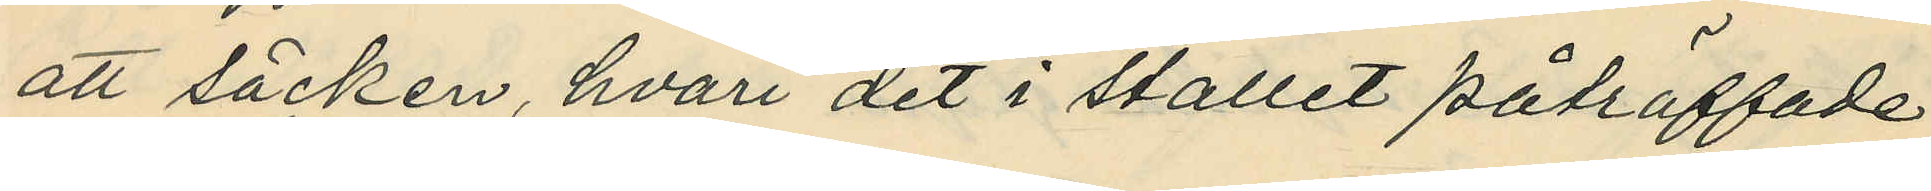att säcken, hvari det i stallet påträffade
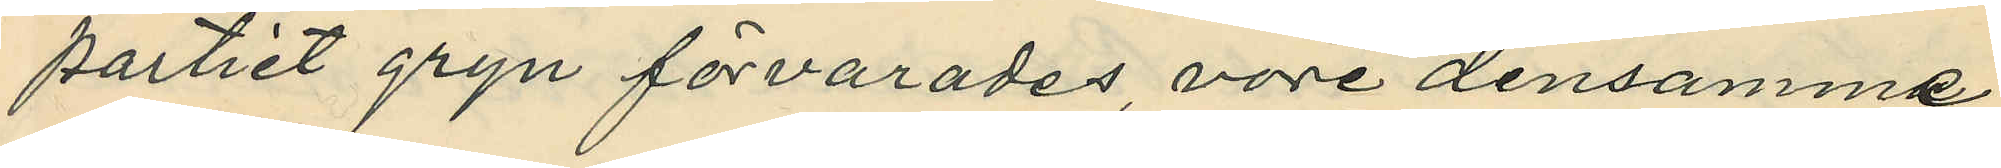partiet gryn förvarades, vore densamma
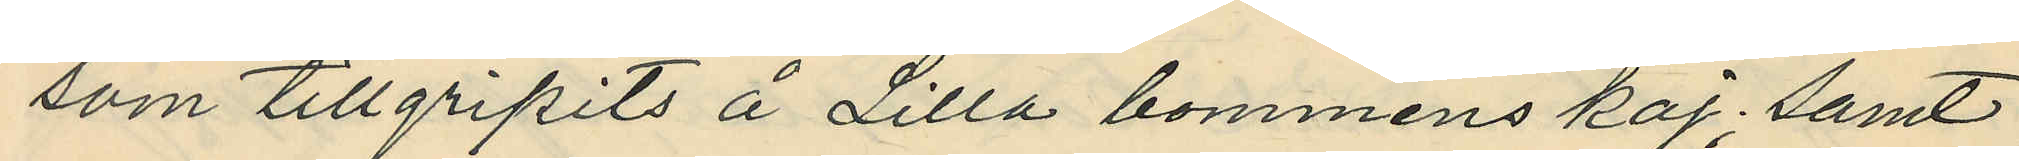som tillgripits å Lilla bommens kaj; samt
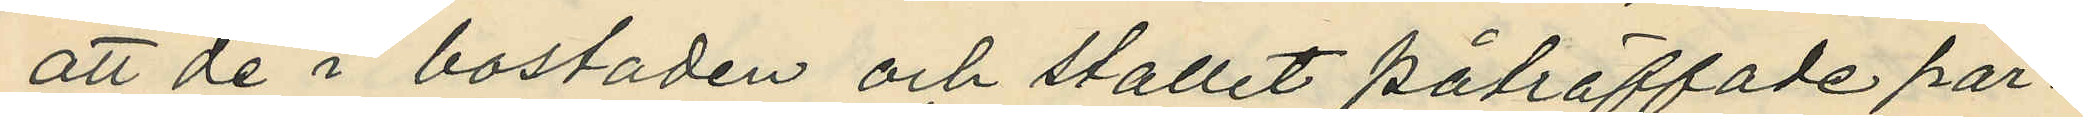att de i bostaden och stallet påträffade par¬
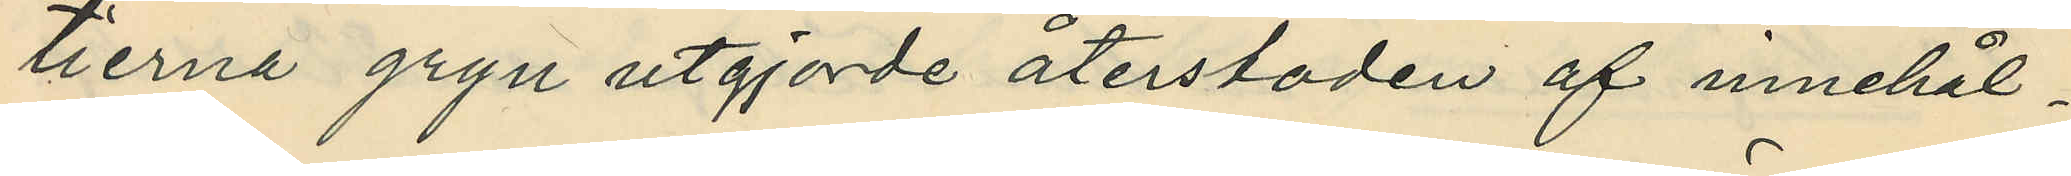tierna gryn utgjorde återstoden af innehål¬
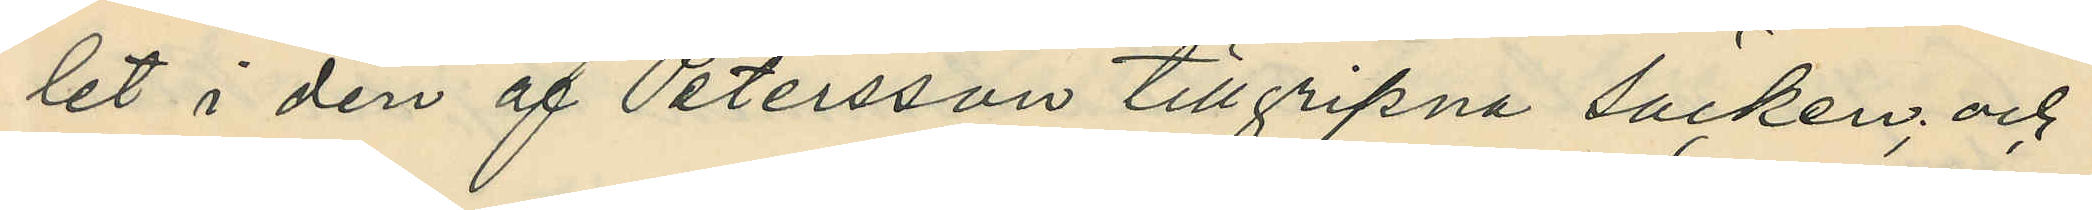let i den af Petersson tillgripna säcken; och
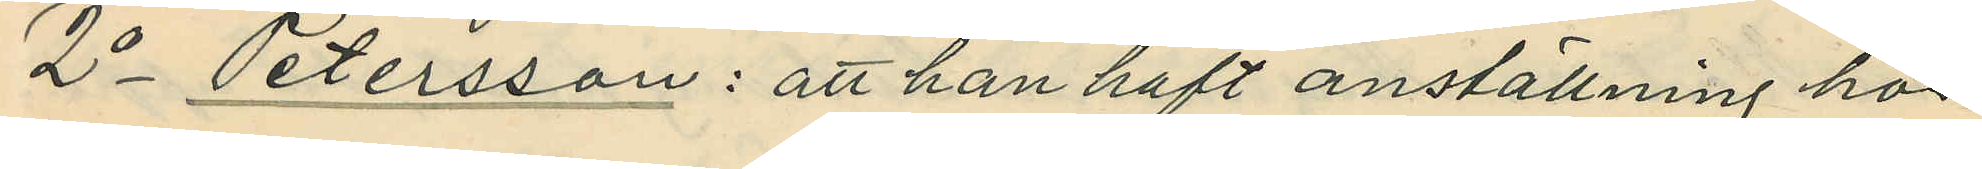2o Petersson: att han haft anställning hos
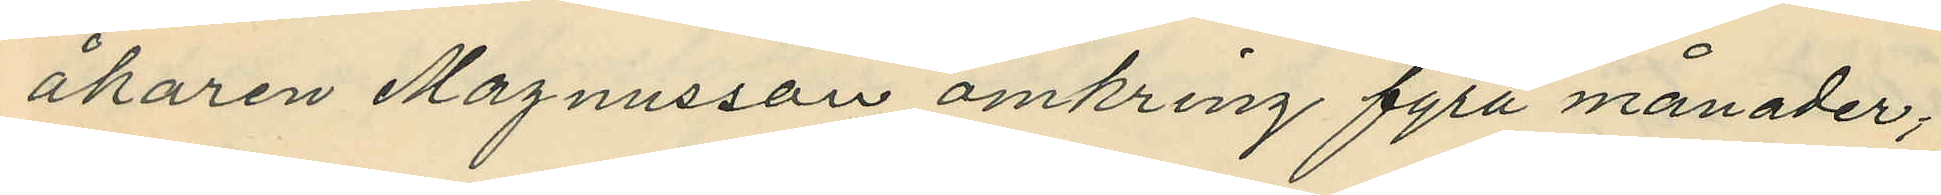åkaren Magnusson omkring fyra månader;
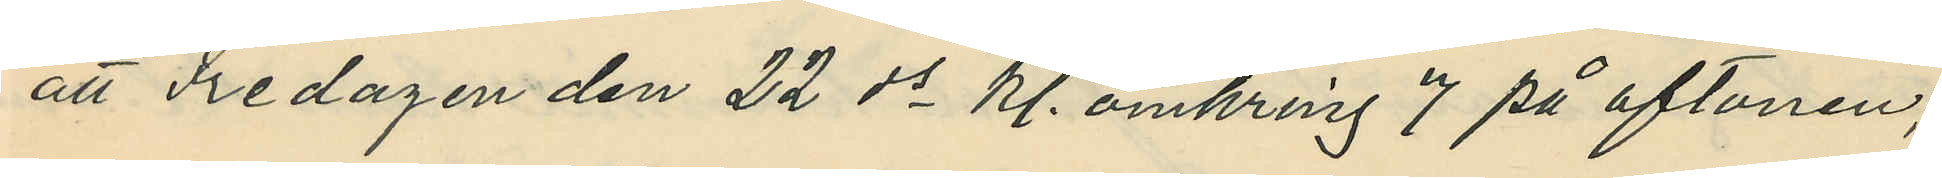att Fredagen den 22 ds kl. omkring 7 på aftonen,
